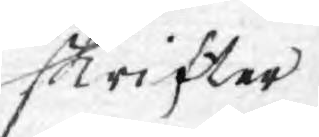skrifter
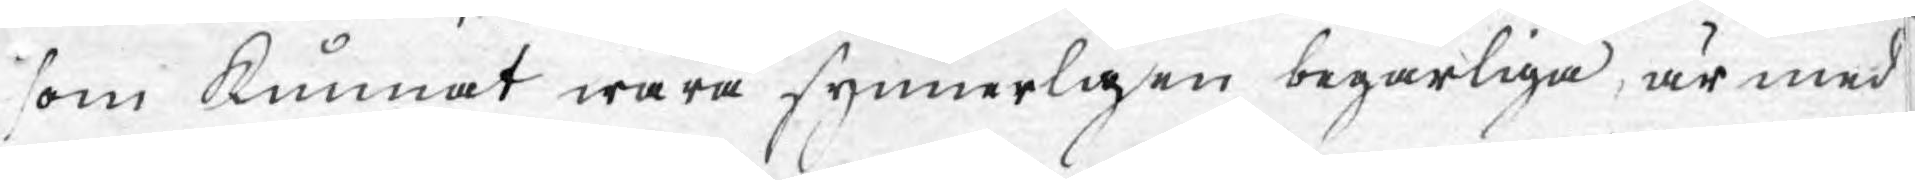som kunnat wara synnerligen begärliga, är med
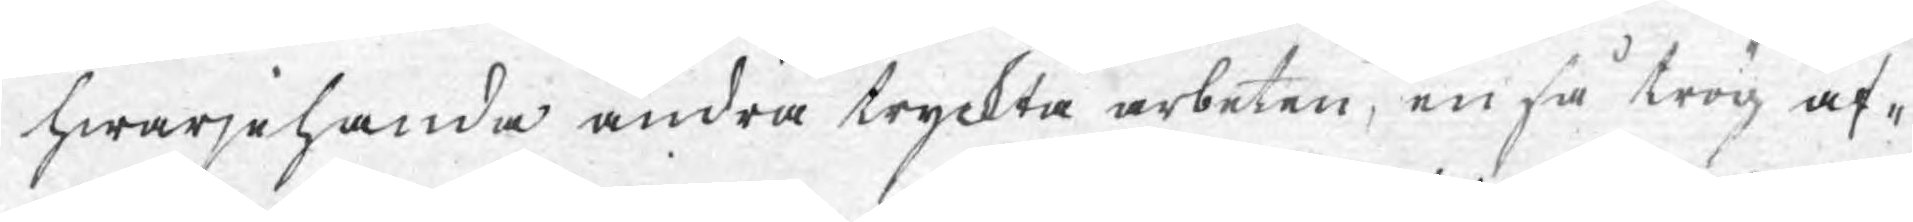hwarjehanda andra tryckta arbeten, en så trög af¬
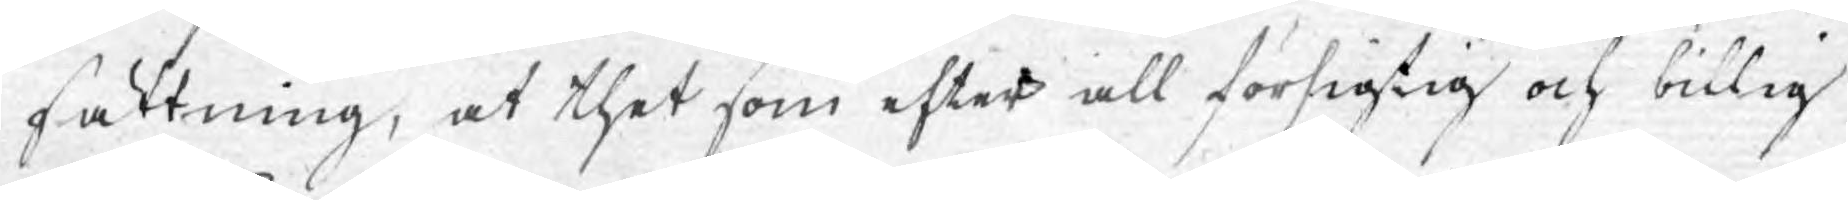sättning, at thet som efter all försigtig och billig
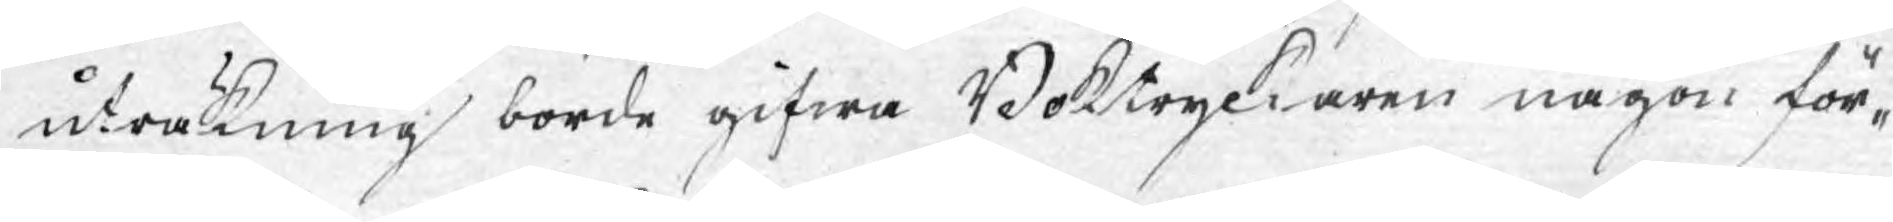uträkning borde gifwa Boktryckaren någon för¬
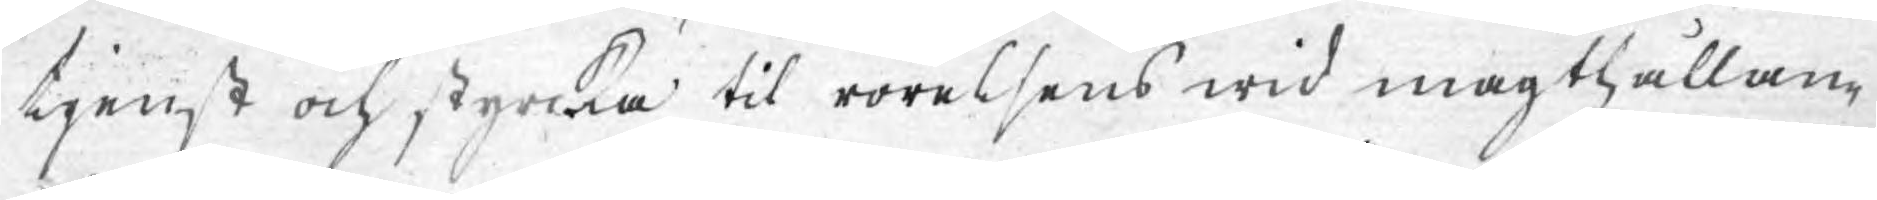tjenst och styrcka til rörelsens widmagthållan¬
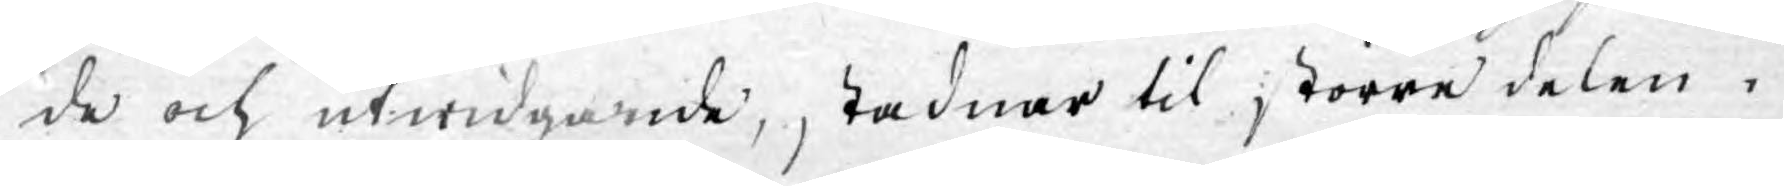de och utwidgande, stadnar til större delen i
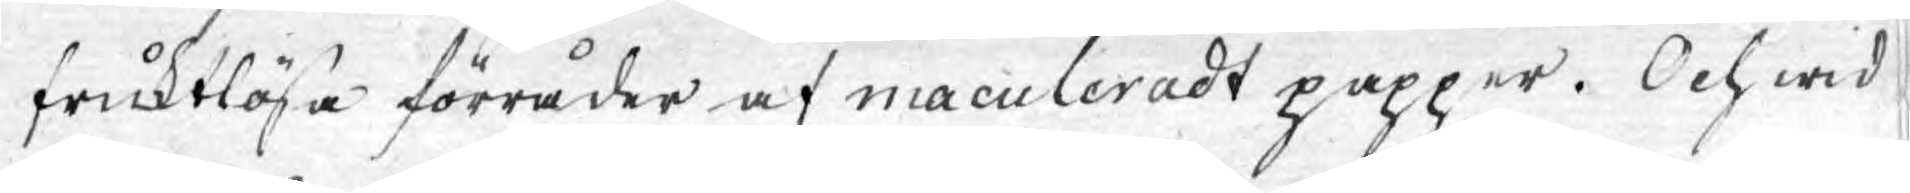fruktlösa förråder af maculeradt papper. Och wid
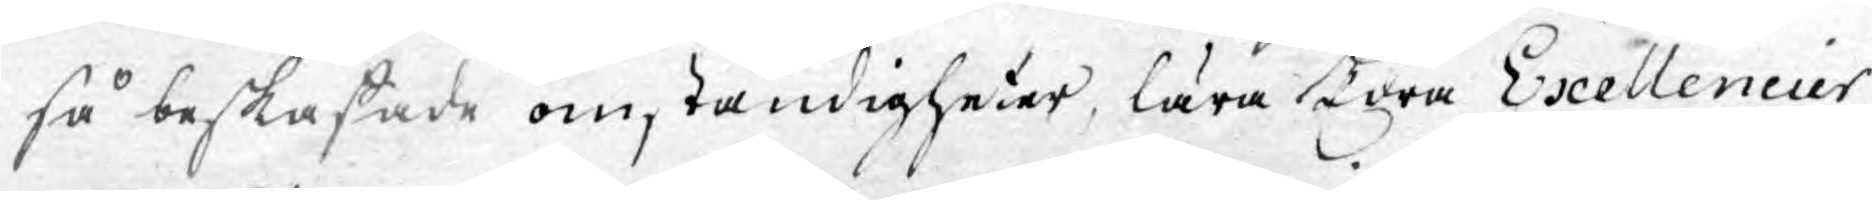så beskaffade omständigheter, lära Edra Exellencier
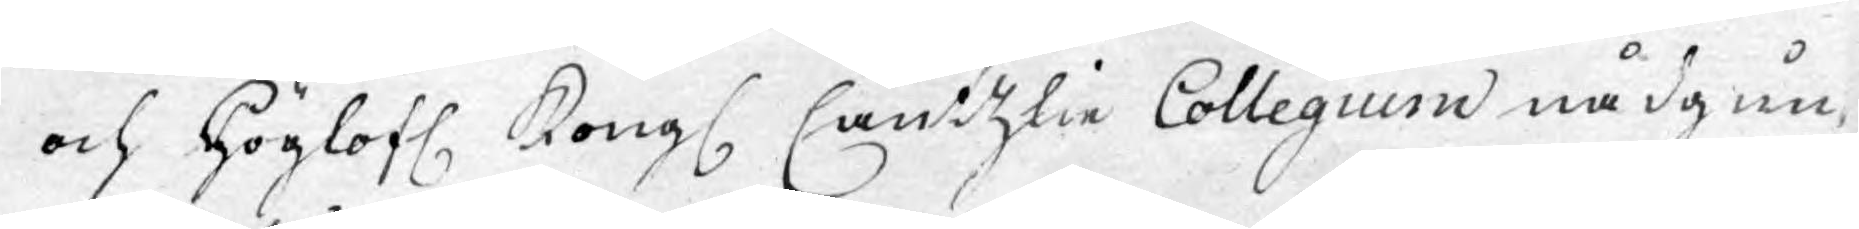och Höglofl. Kongl. Cantzlie Collegium nådgun¬
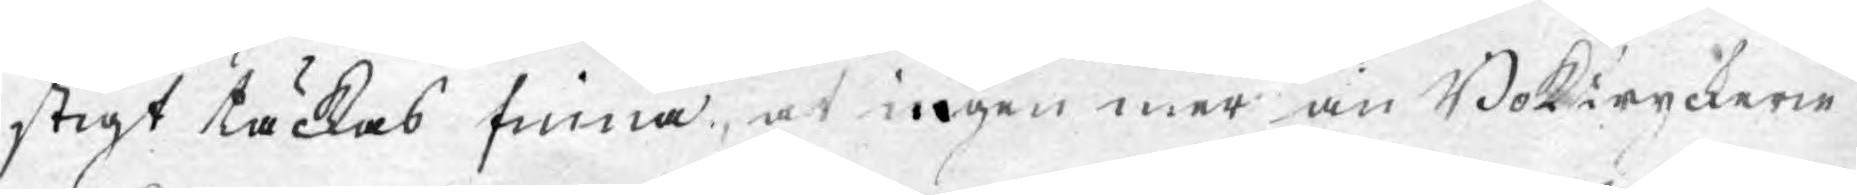stigt täckas finna, at ingen mer än Bokiyckerie
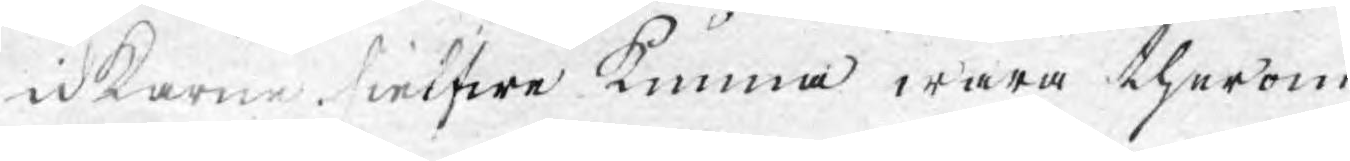Idkarne sielfwe kunna wara therom
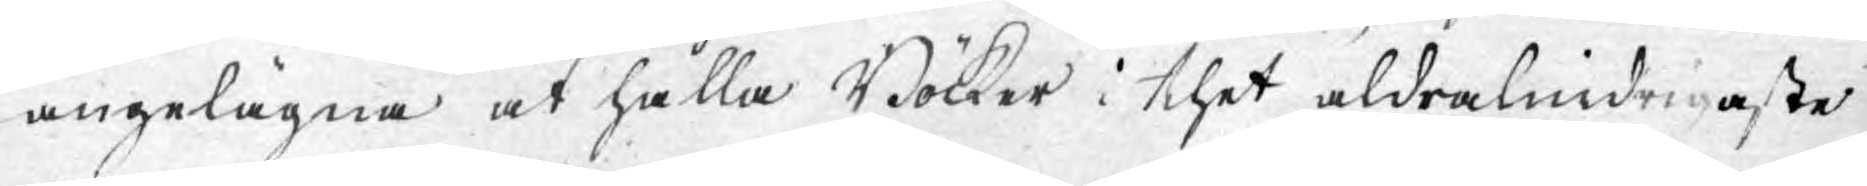angelägna at hålla Böcker i thet aldralindrigaste
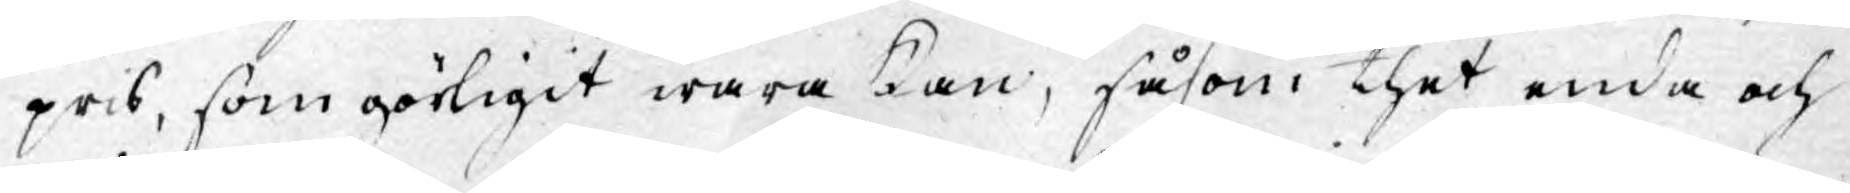pris, som görligit wara kan, såsom thet enda och
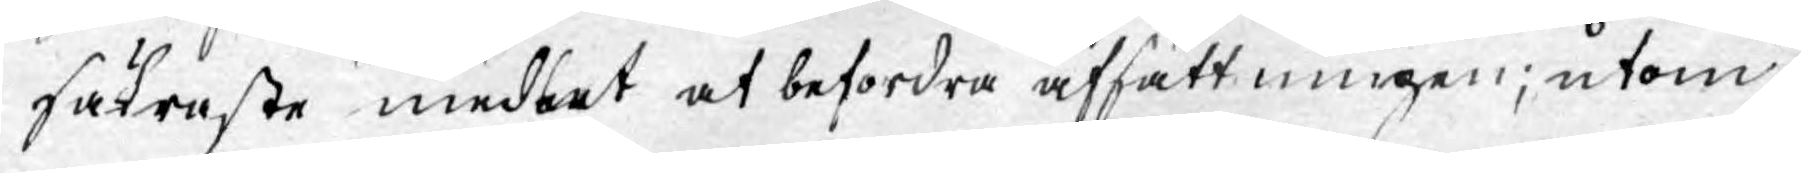säkraste medlet at befordra afsättningen; utom
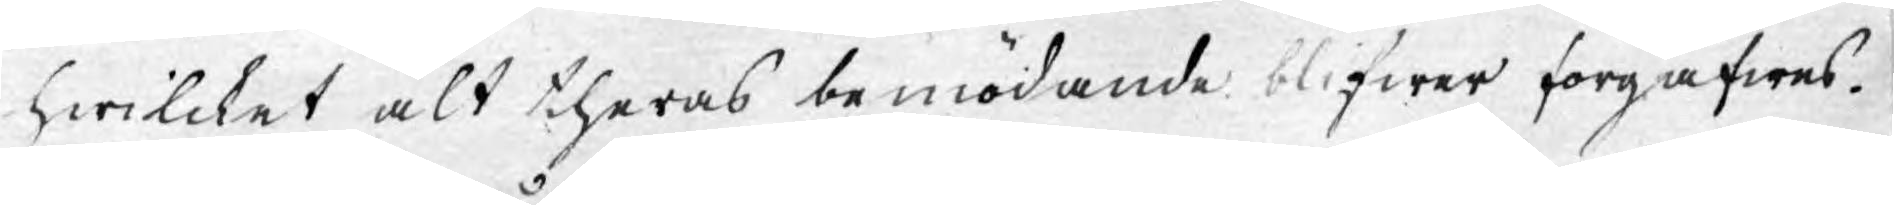hwilcket alt theras bemödande blifwer förgäfwes.
